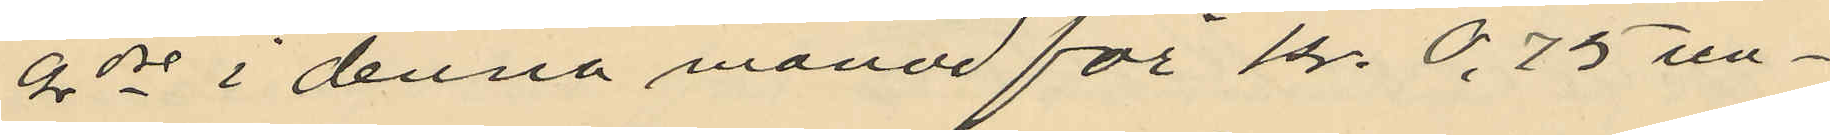9de i denna månad för Kr. 0,75 un¬
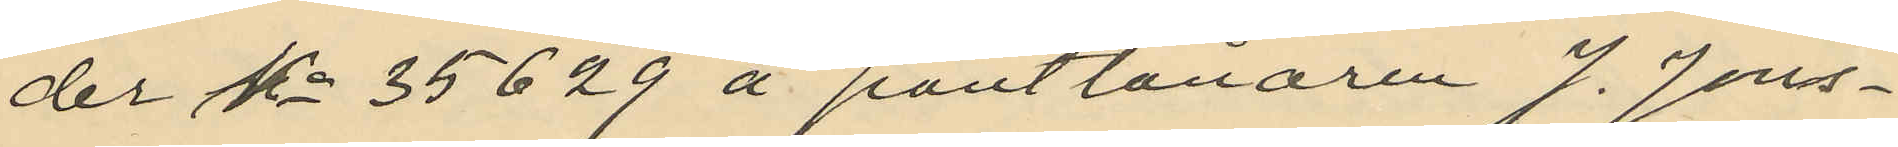der No 35629 å pantlånaren J. Jons¬
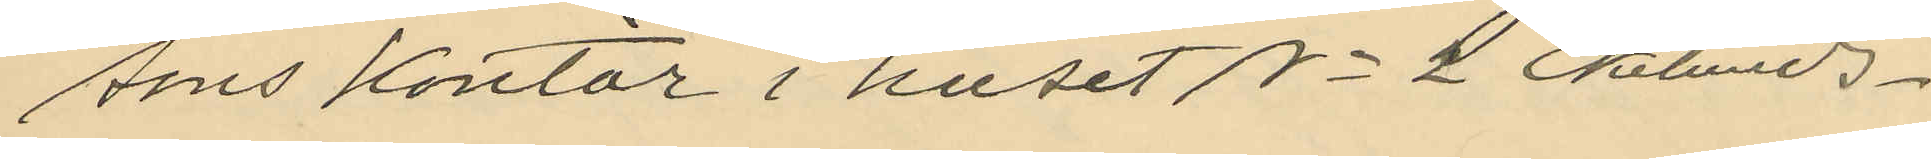sons kontor i huset No 2 Ekelunds¬
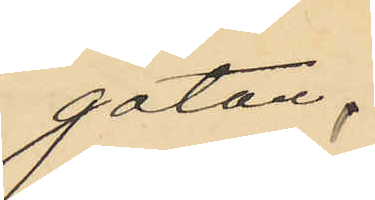gatan,
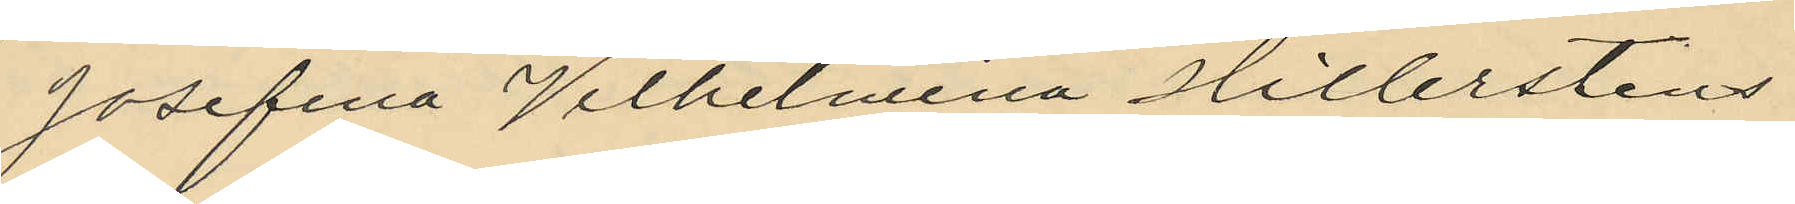Josefina Vilhelmina Hillerstens
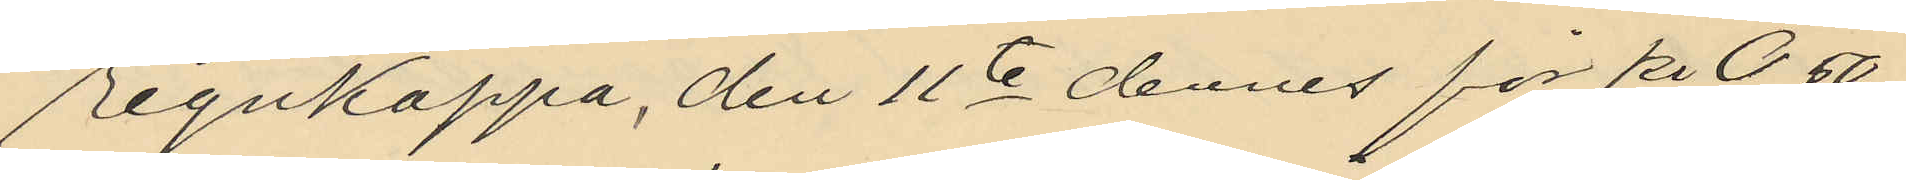regnkappa, den 11te dennes för kr 0,50
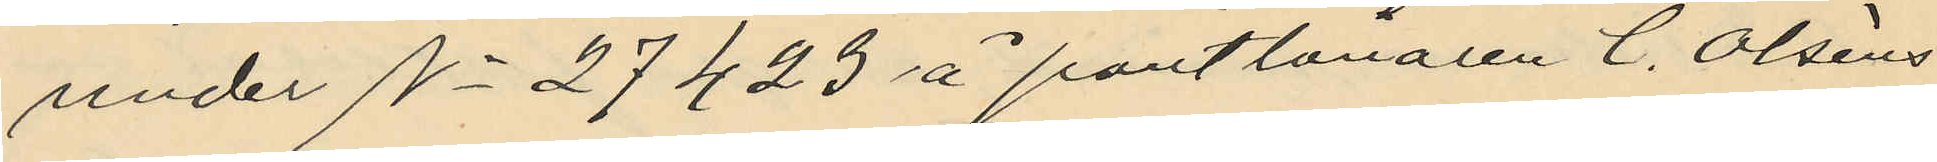under No 27423 å pantlånaren C. Olséns
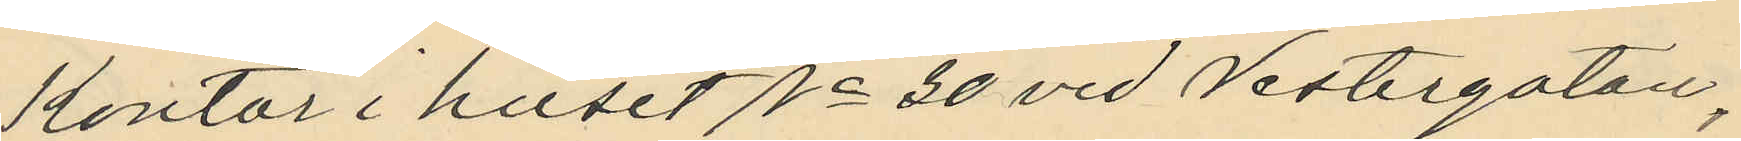kontor i huset No 30 vid Vestergatan,
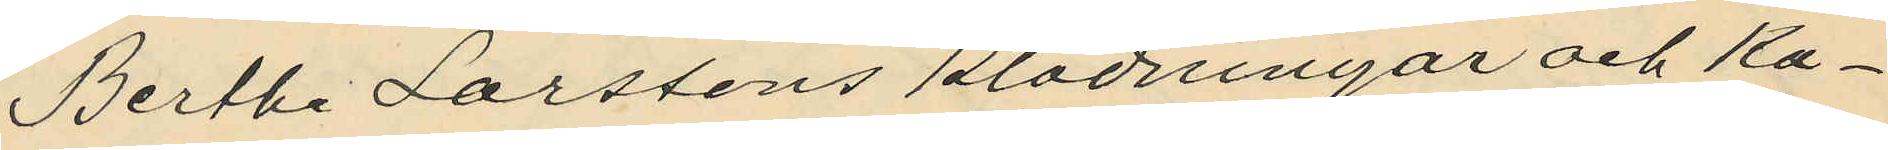Bertha Larssons klädningar och ka¬
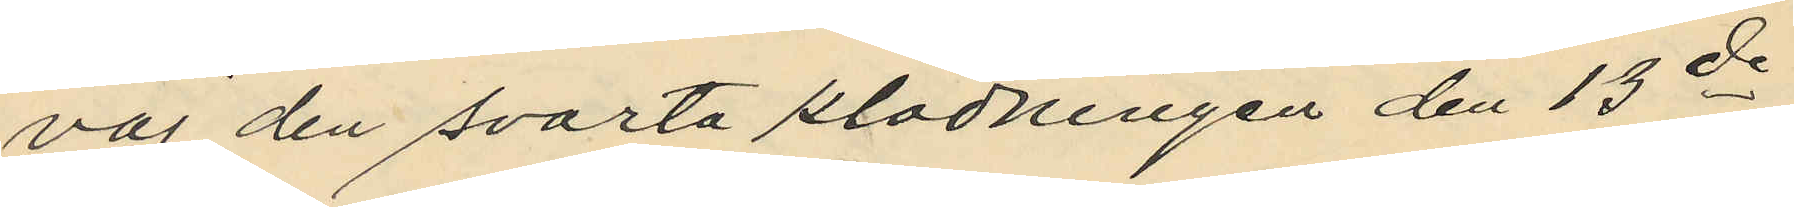vaj den svarta klädningen den 13de
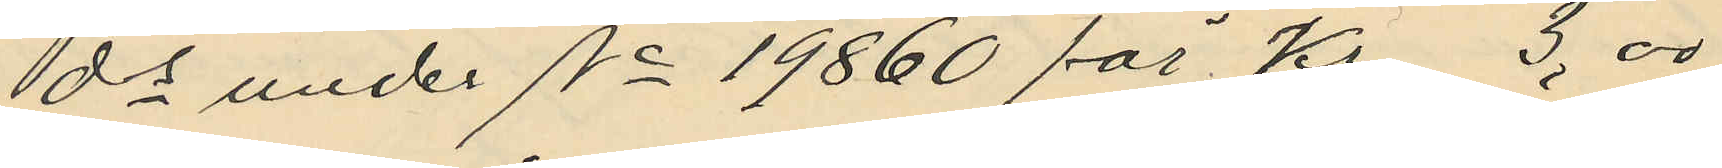ds under No 19860 för Kr 3,00
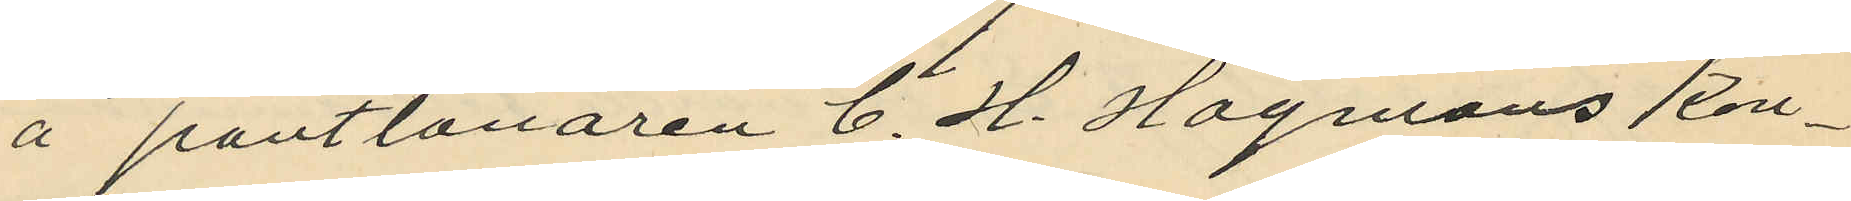å pantlånaren C. H. Hagmans kon¬
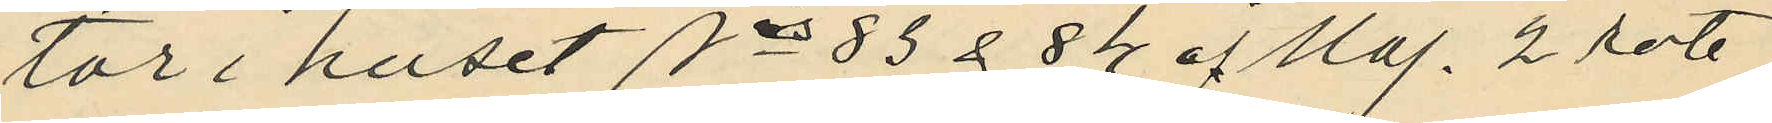tor i huset Nris 83 & 84 å Maj. 2 rote
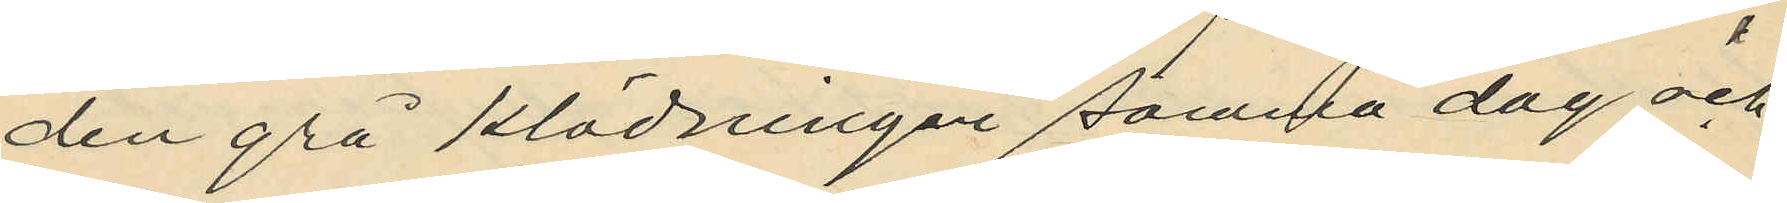den grå klädningen samma dag och
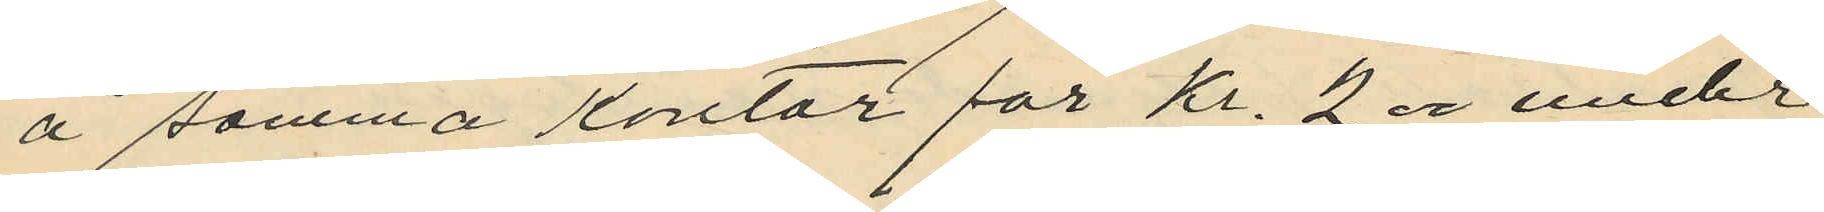å samma kontor för Kr. 2.00 under
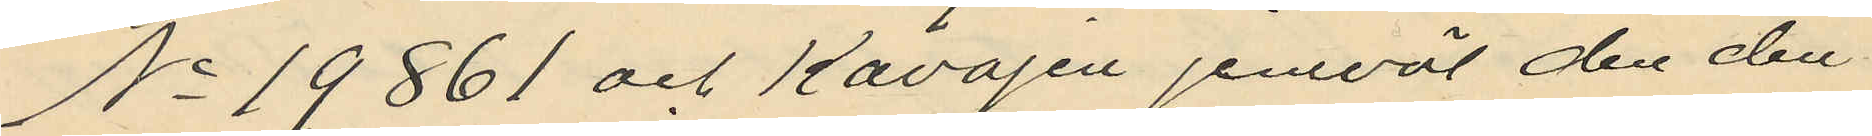No 19861 och kavajen jemväl den den
